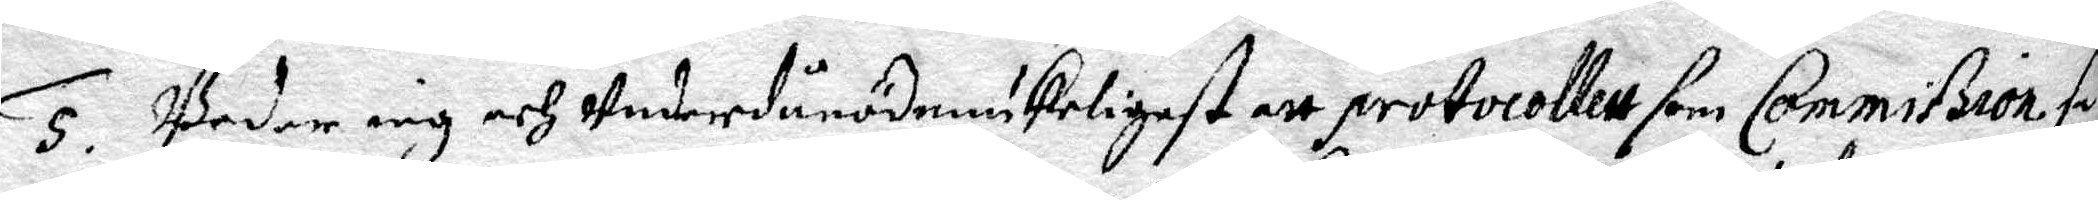5. Beder iag och underdånödmiukeligast att protocollett som Commißion så
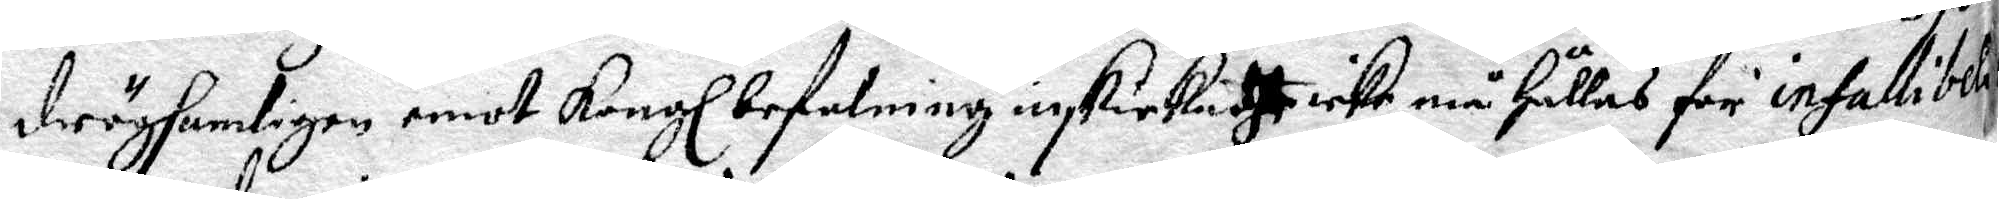drögsamligen emot Kongl befalning inskickadt icke må Hållas för infacillibelt
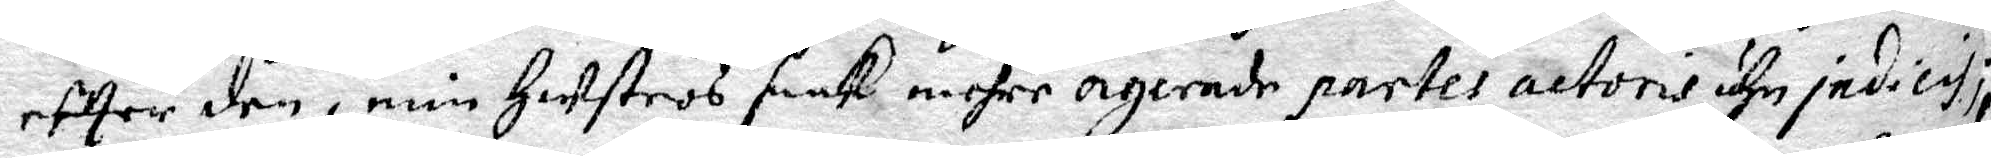efter den i min Hustros saak mehre ogernde parter actoris uhe judicis;
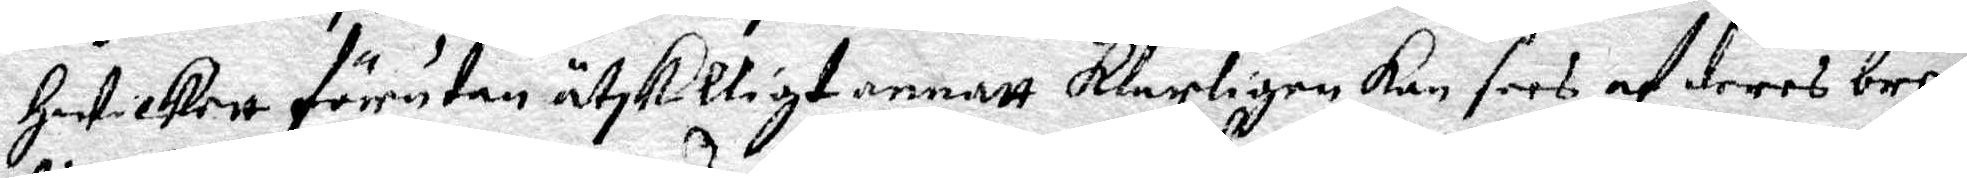Hwilkett förutan åtskilligt annatt klarligen kan sees af deres breef
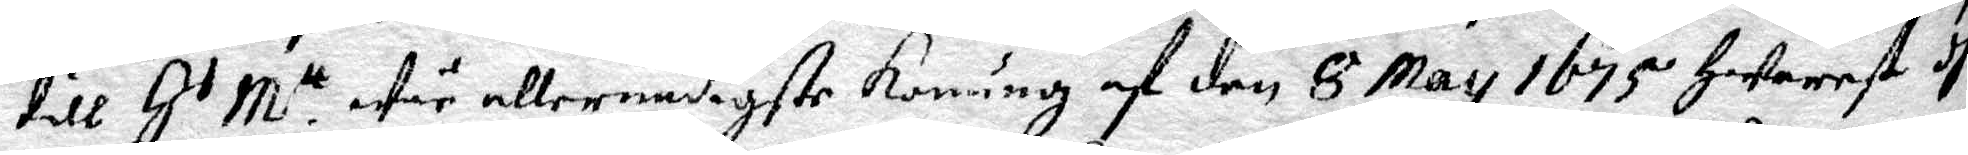till H r M.tt wår allernådigste konung af den 8 May 1675 Hwarest dhe
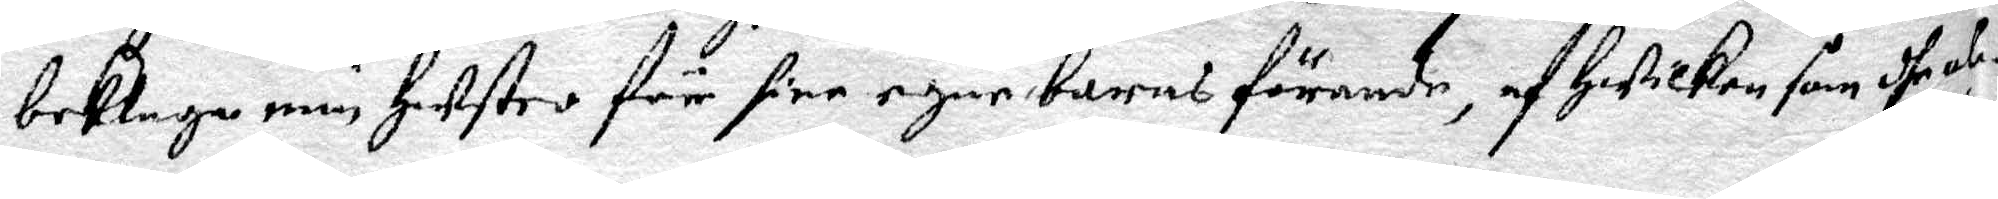beklaga min Hustro för sine egne barns förande, af Hwilken som dhe al¬
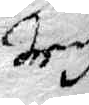drig
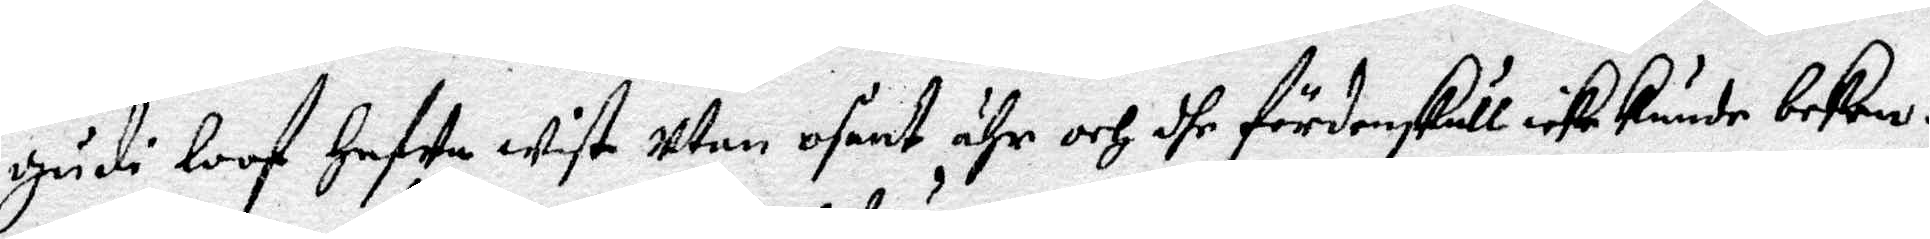Gudi loof Hafwa wist utan osant ähr och dhe fördenskull icke kunde beken¬
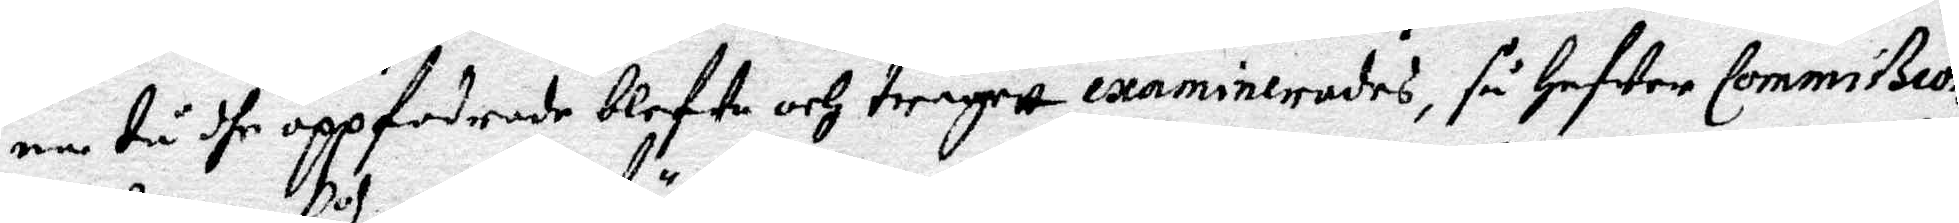na tu dhe oppfodrade blefwo och trägett examinerades, så Hafwer Commißion
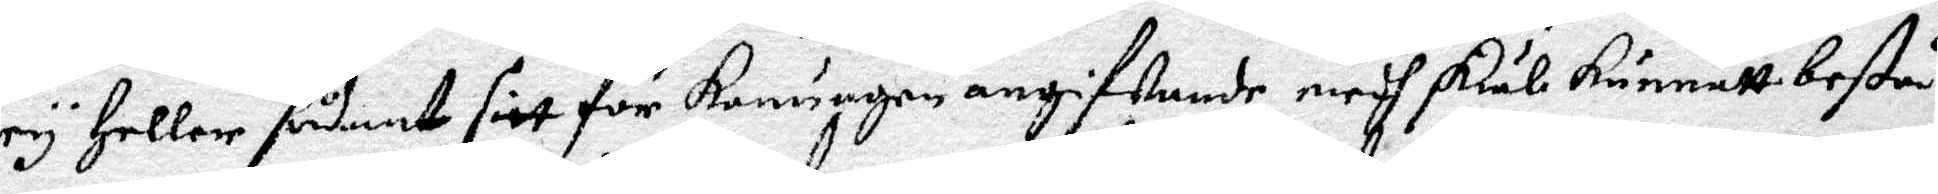ey Heller sådant sitt för konungen angifwande medh skäl kunnatt bestå
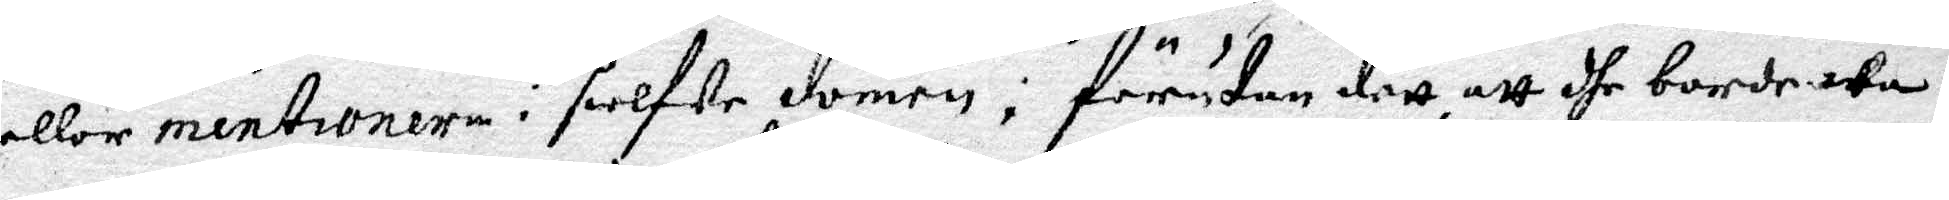eller mentroner i sielfwe domen; förutan dett, att dhe borde wa¬
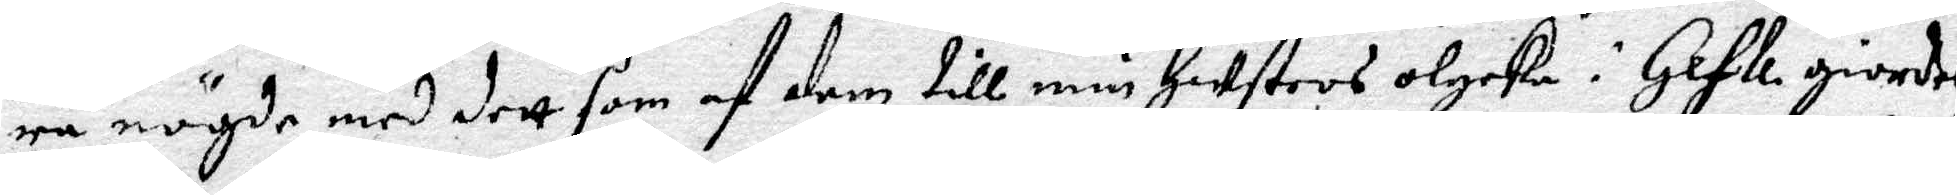ra nögde med dett som af dem till min Hustros olycka i Gefle giordes
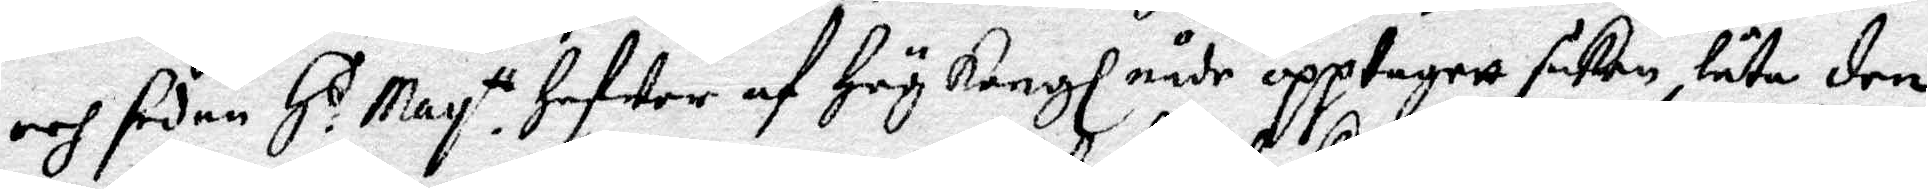och sedan H:s May.tt Hafwer af Hög Kongl nåde opptagett saken, låta den
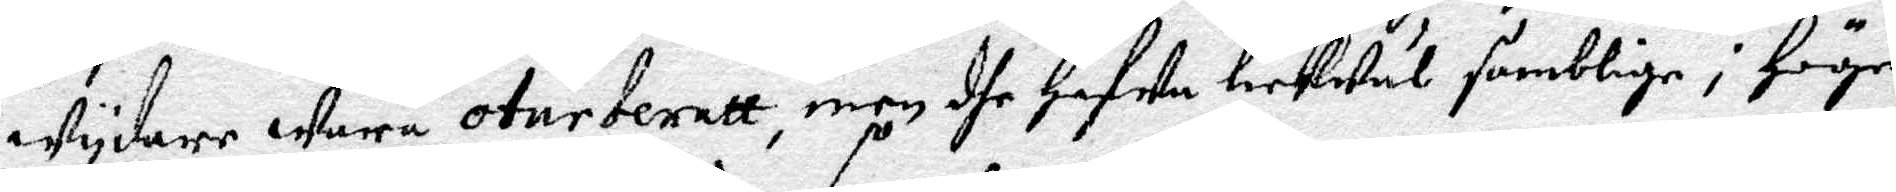wydare wara oturberett, men dhe Hafwa lickwäl somblige i Höge
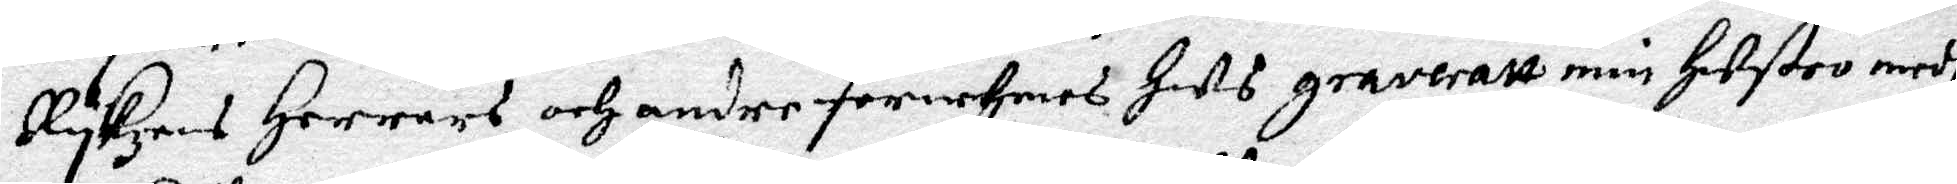Rykzens Herrars och andre förnehmes Hets graveratt min Hustri medh
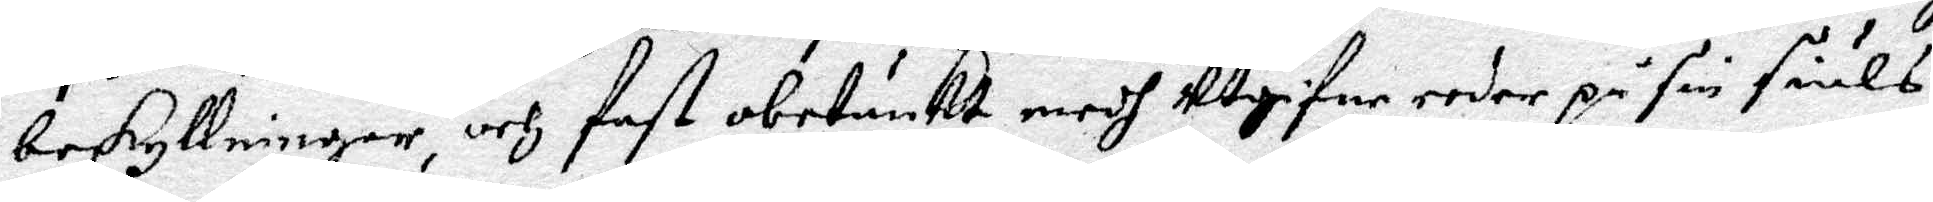beskyllningar, och fast obetänkt medh utgifne eeder på sin siäls
